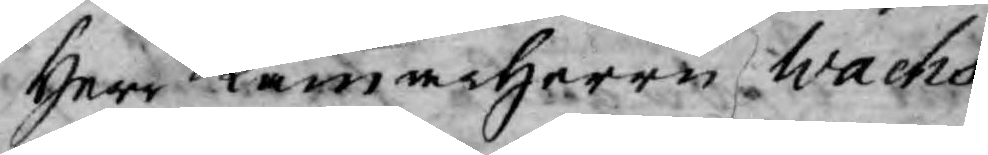Herr Kamarherren Wachs¬
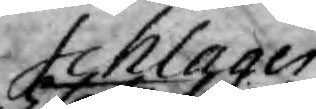Schlager
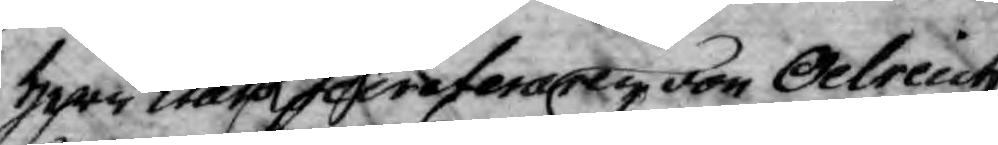Herr StatsSecreterare von Odreich,
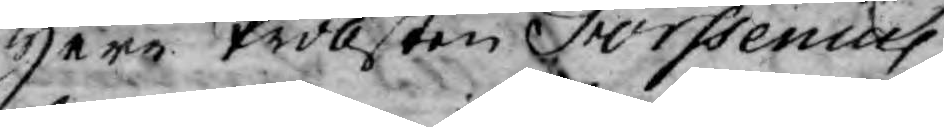Herr Probsten Forssenius,
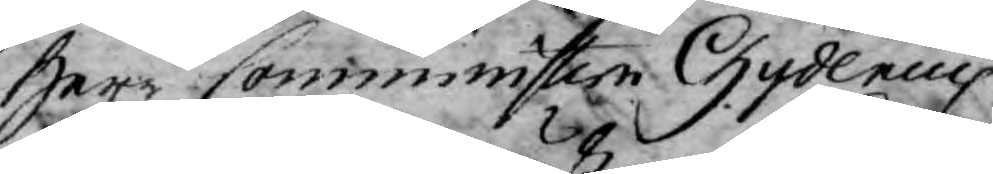Herr Comministern Gydenius
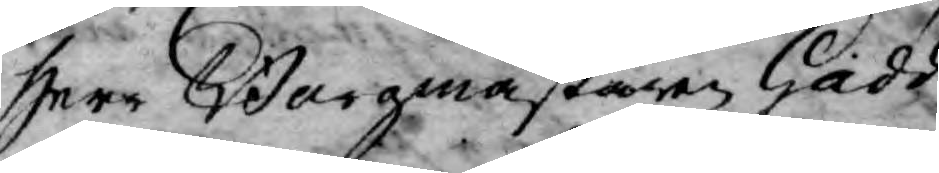Herr Borgmästaren Gadd,
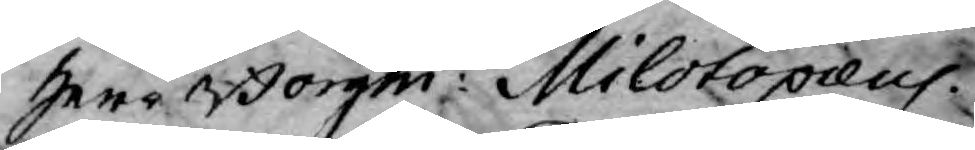Herr Borgm: Milotopæus.
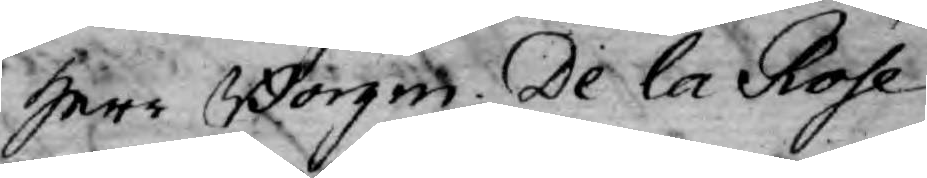Herr Borgm. De la Rose
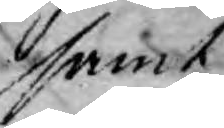samt
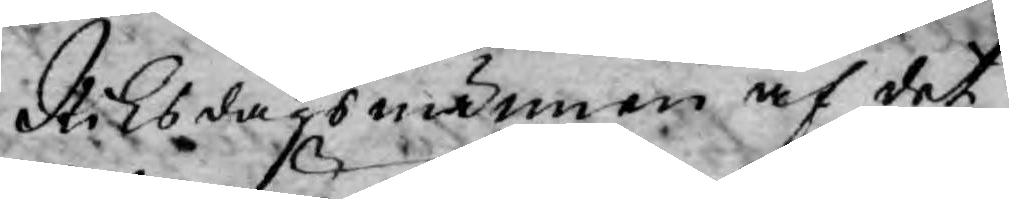Riksdagsmännen af det
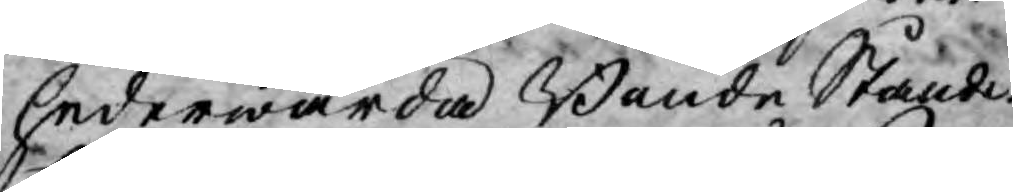hederwärda Bonde Ståndet
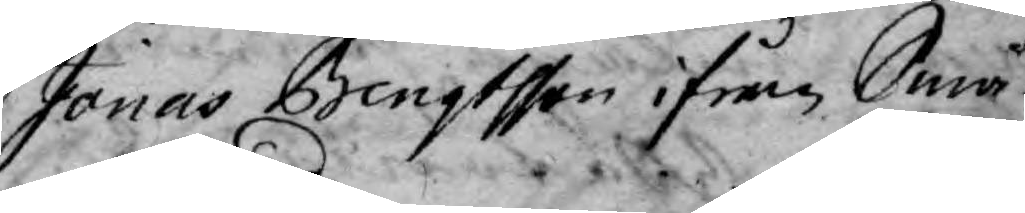Jonas Bengtsson ifrån Små¬
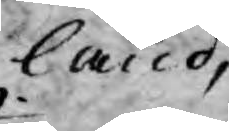land,
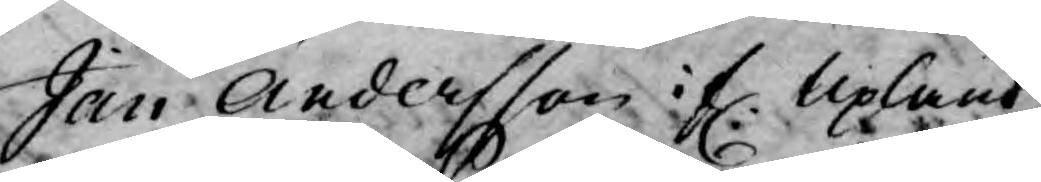Jan Andersson i f. Upland
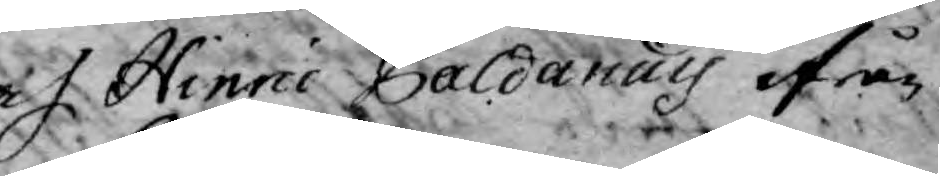af Hinric Paldanus ifrån
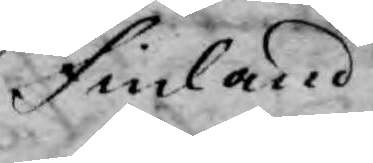Finland.
